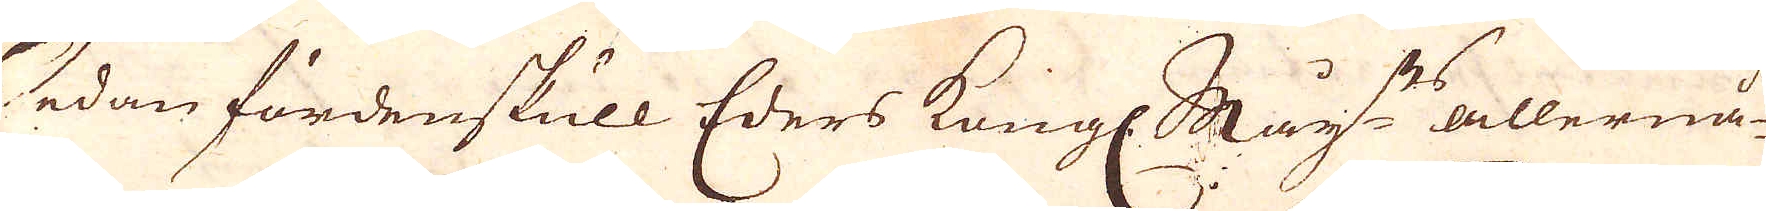Sedan fördenskull Eders Kongl. May:ts allernå-
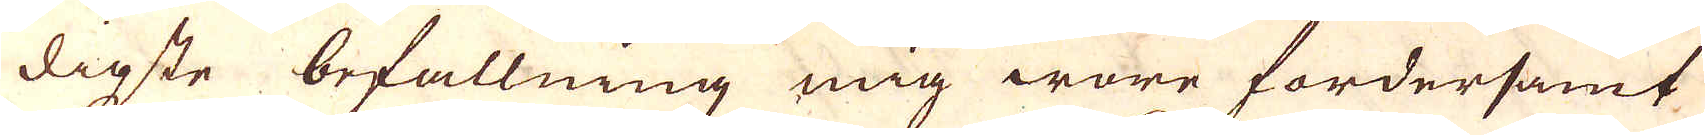digste befallning mig ware fordersamt
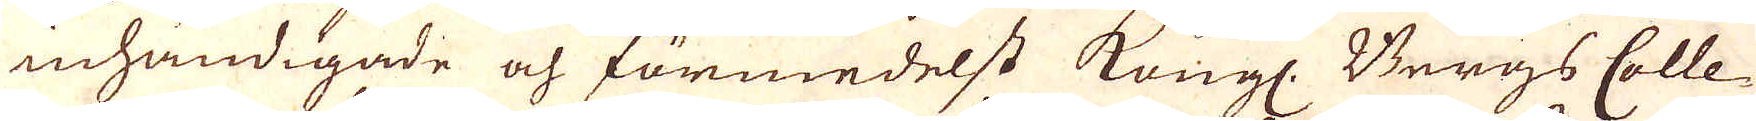inhändigade och förmedelst Kungl: Bergs Colle-
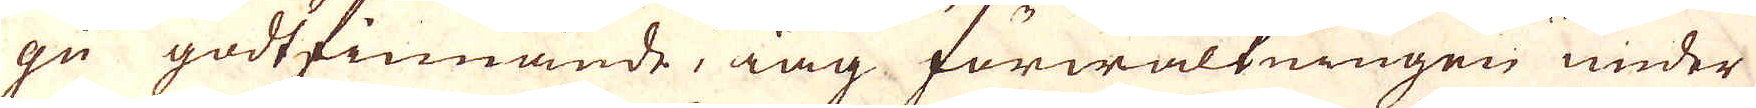gii godtfinnande, iag förwaltningen under
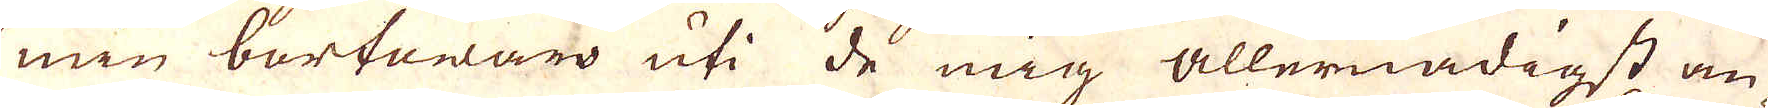min bortawaro uti de mig allernådigst an-
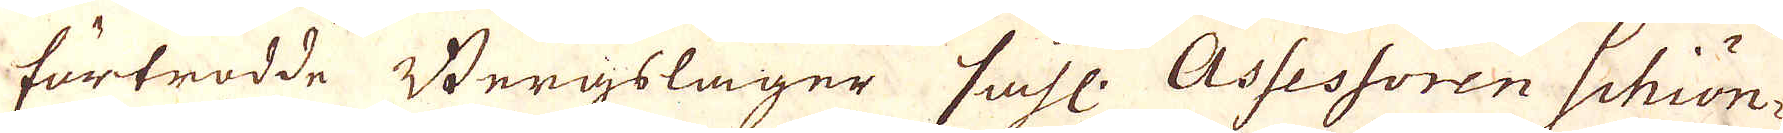förtrodde Bergslager sahl: Assessoren Schiön-
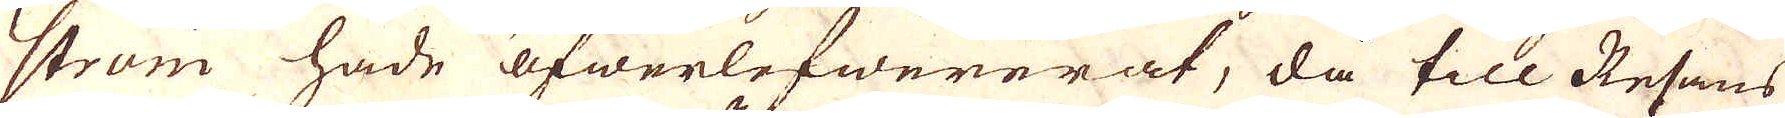ström hade öfwerlefwererat, då till Resans
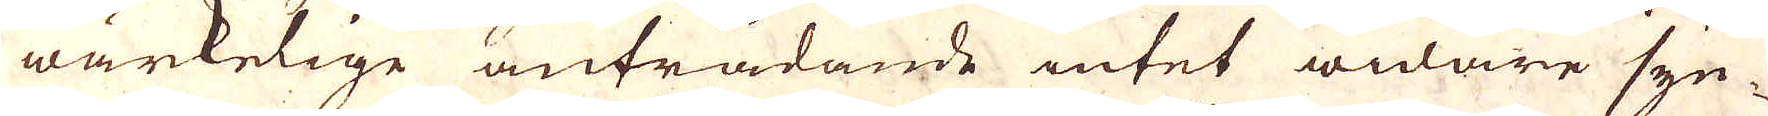wärkelige anträdande intet widare syn-
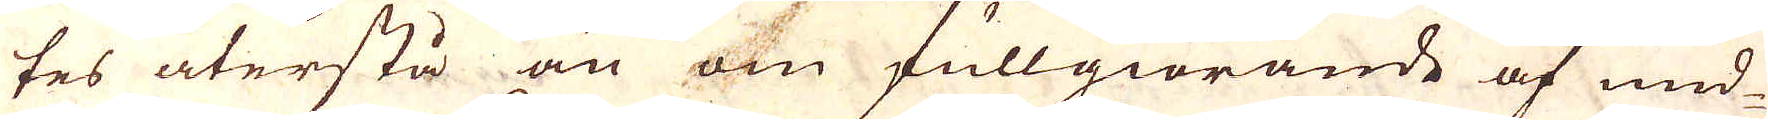tes återstå än om fullgiörande af und-
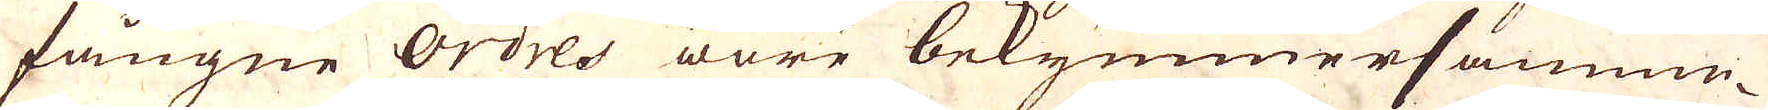fångne ordres wara bekymmersamme-
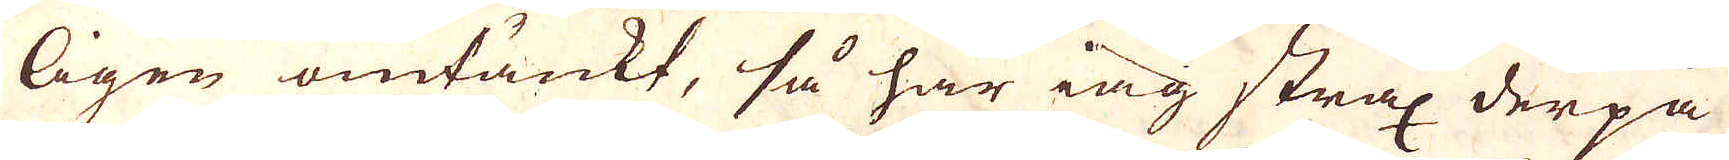ligen omtänkt, så har iag strax derpå
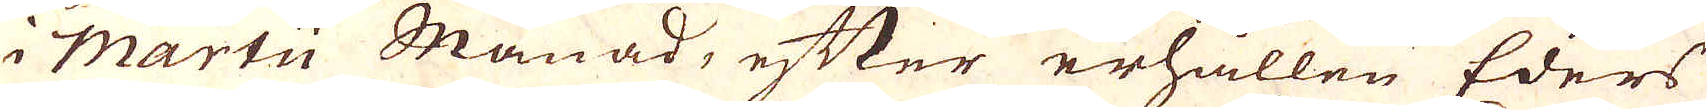i Martii Månad, etter erhållen Eders
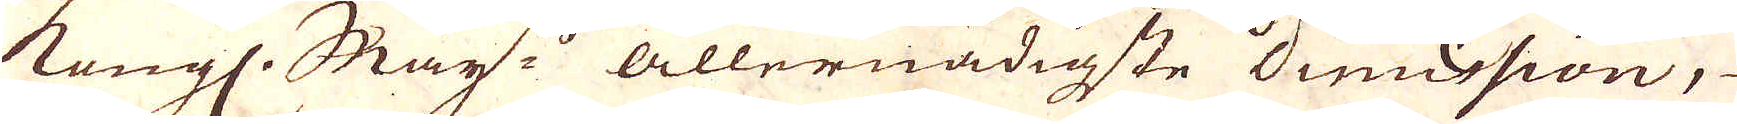kungl. May:ts Allernådigste dimission,
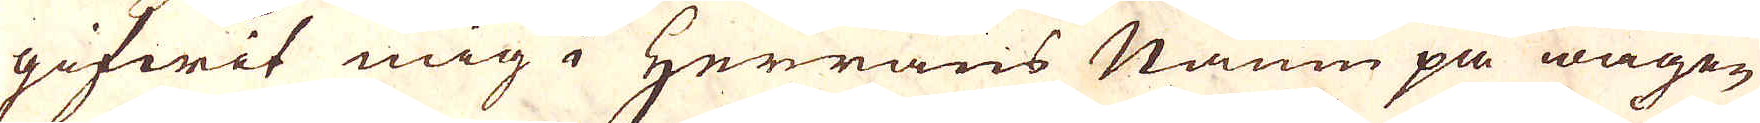gifwit mig Herrans Namn på wägen
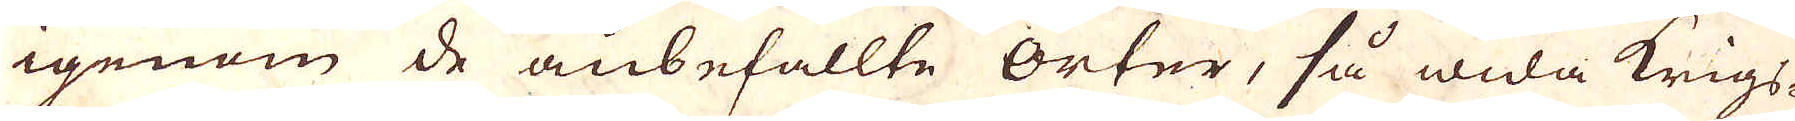igenom de anbefallte orter, så wida krigs-
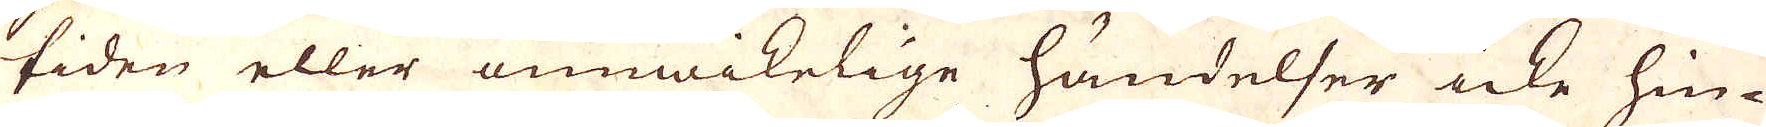tiden eller unnwikelige händelser icke hin-
